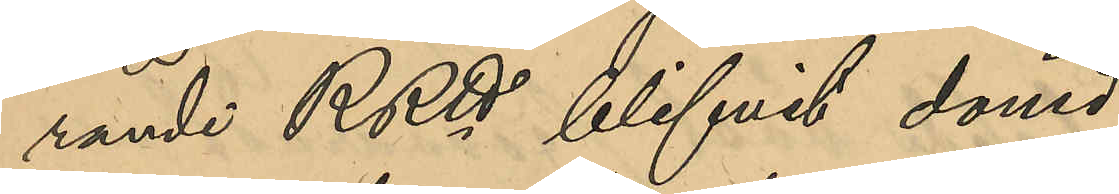rande RRtt blifvit dömd:
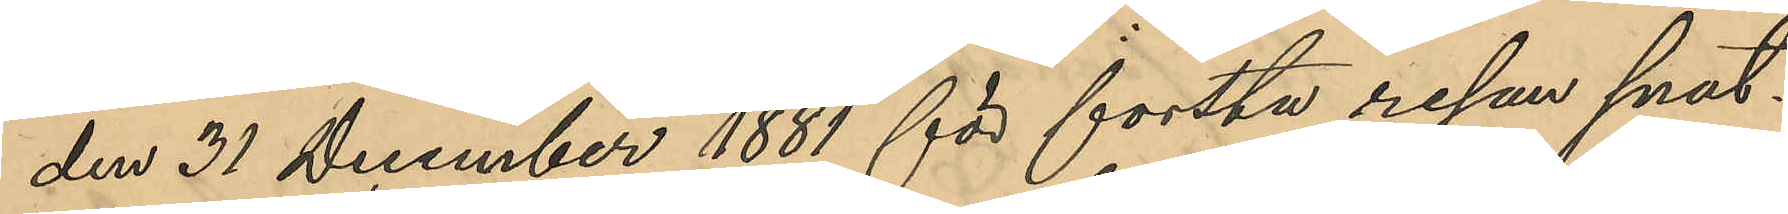den 31 December 1881 för första resan snat¬
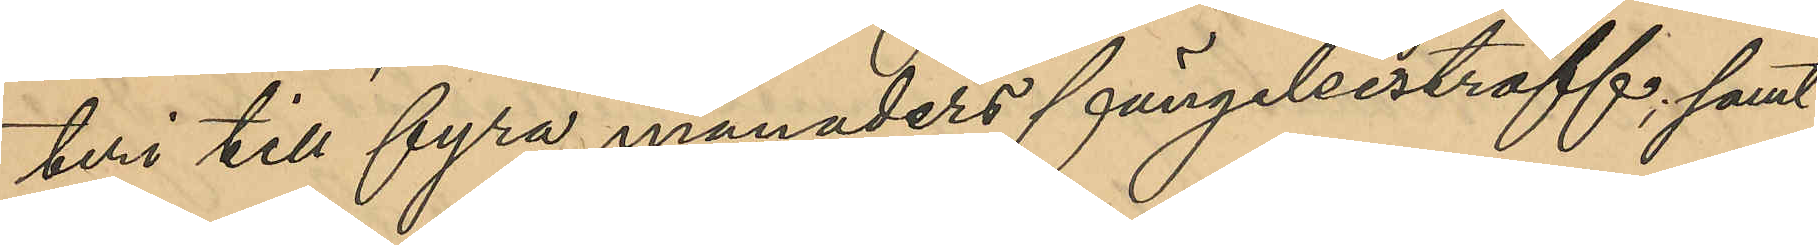teri till fyra månaders fängelsestraff; samt
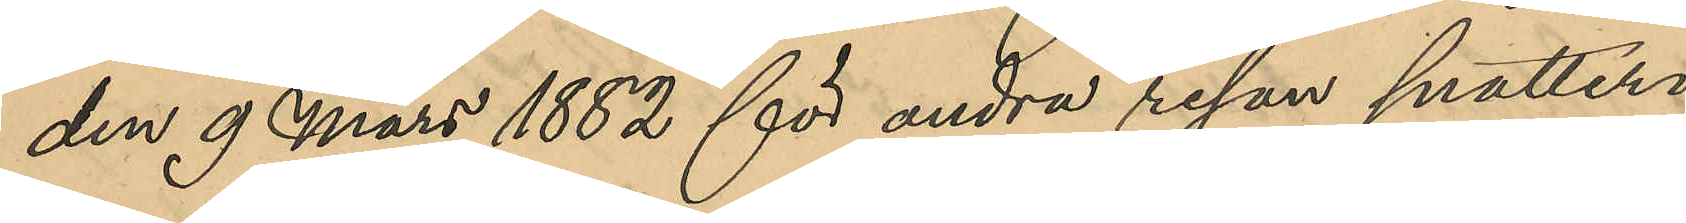den 9 Mars 1882 för andra resan snatteri
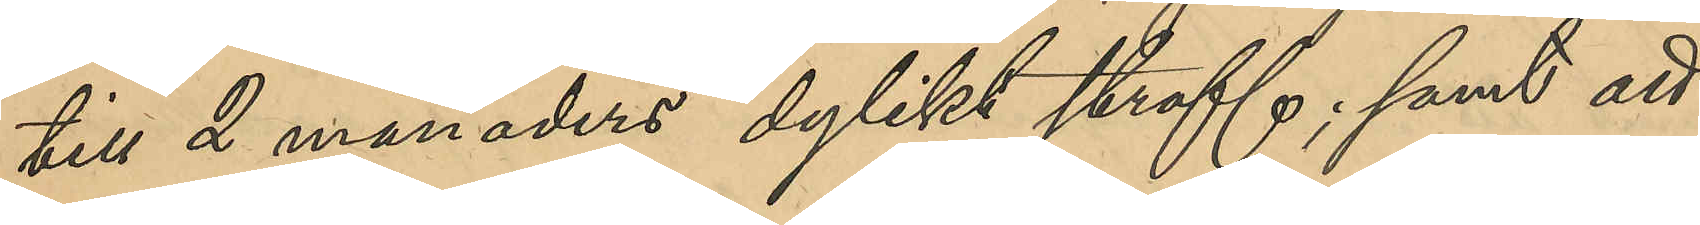till 2 månaders dylikt straff; samt att
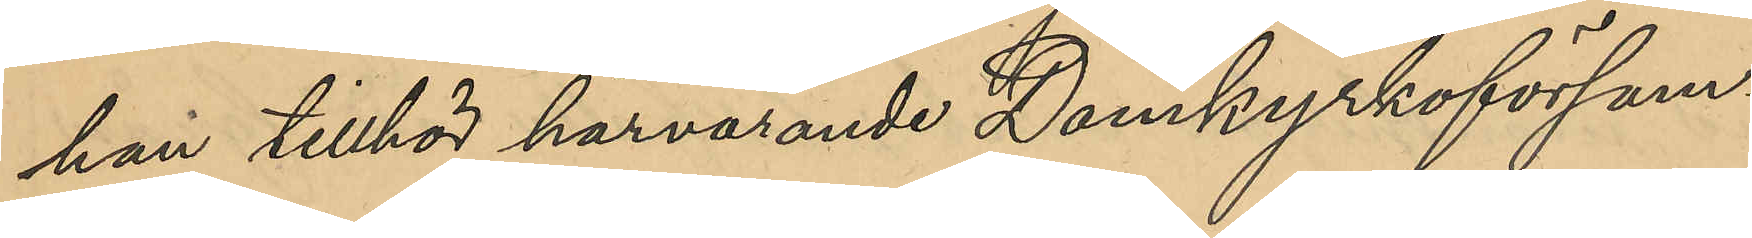han tillhör härvarande Domkyrkoförsam¬
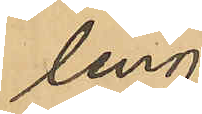ling.
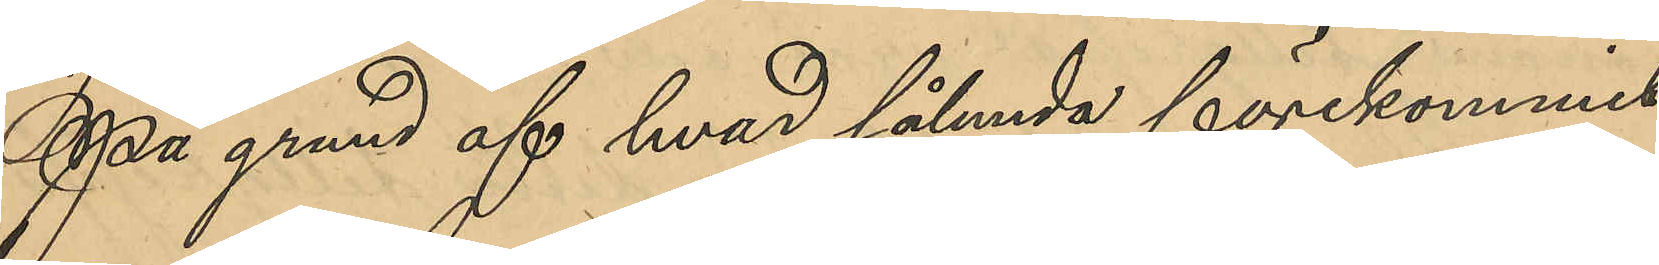På grund af hvad sålunda förekommit
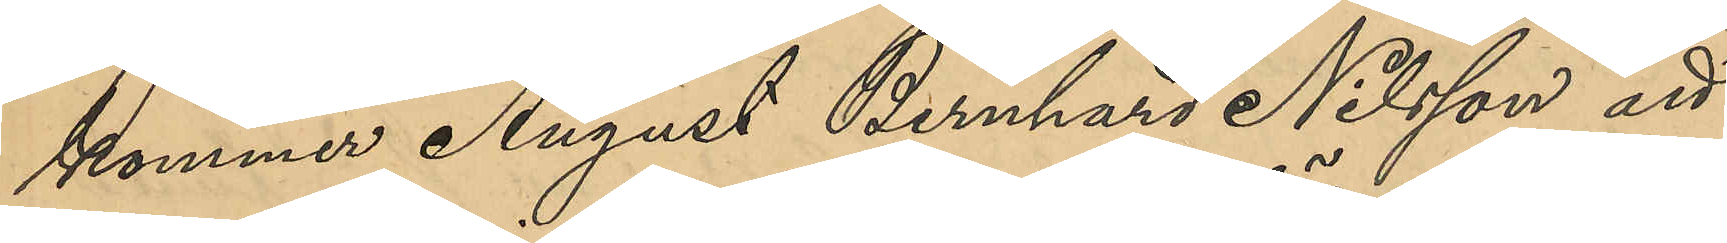kommer August Bernhard Nilsson att
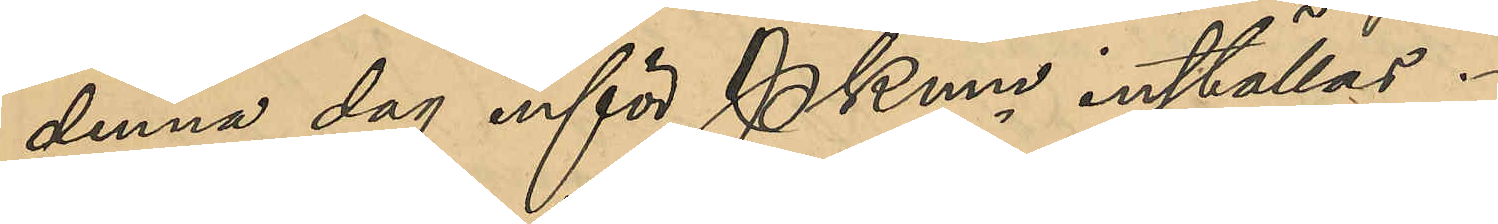denna dag inför PKmn inställas.
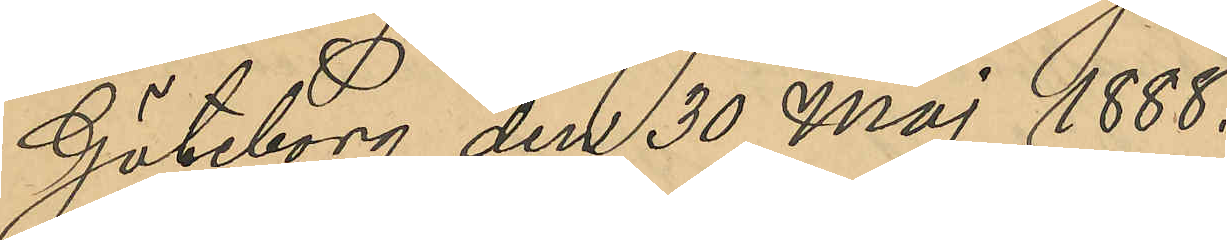Göteborg den 30 Maj 1888.
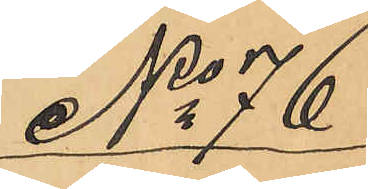No 76
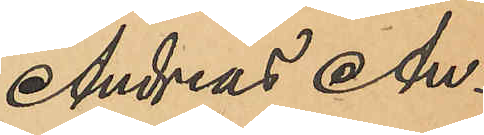Andreas An¬
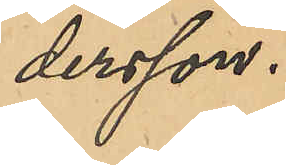dersson.
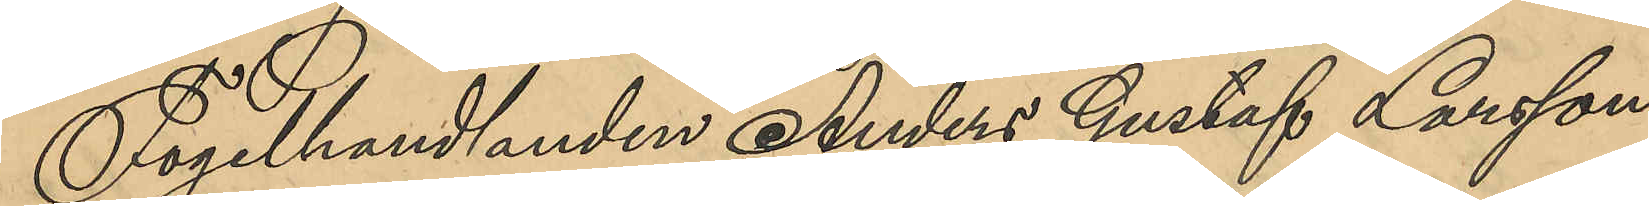Fogelhandlanden Anders Gustaf Larsson,
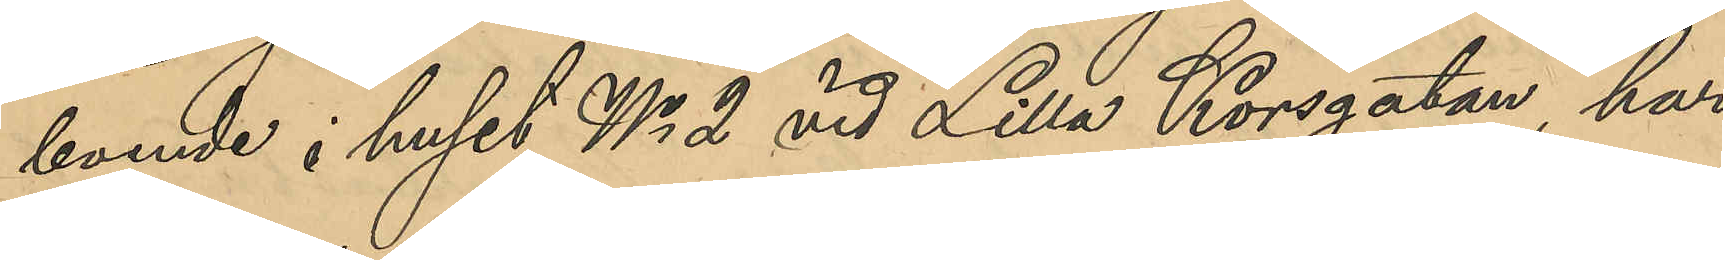boende i huset No 2 vid Lilla Korsgatan, har
